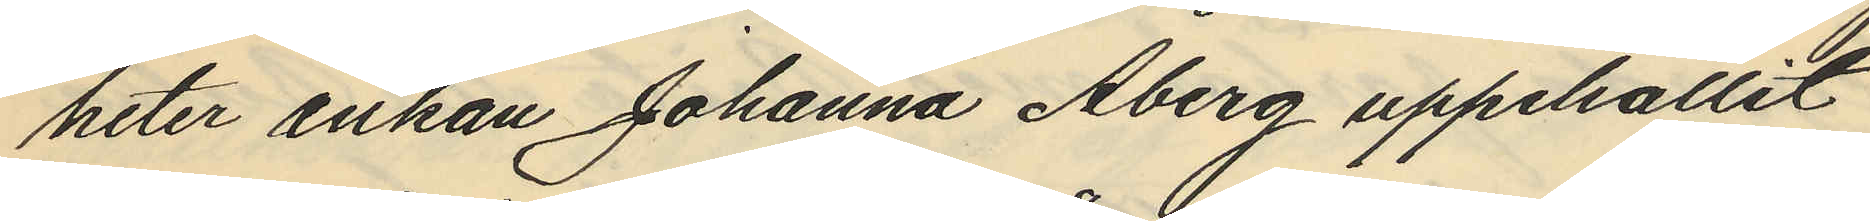heter Enkan Johanna Åberg uppehållit
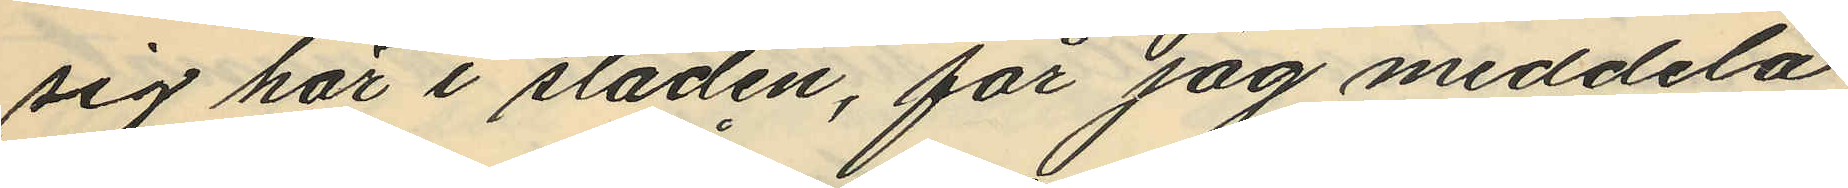sig här i staden, får jag meddela
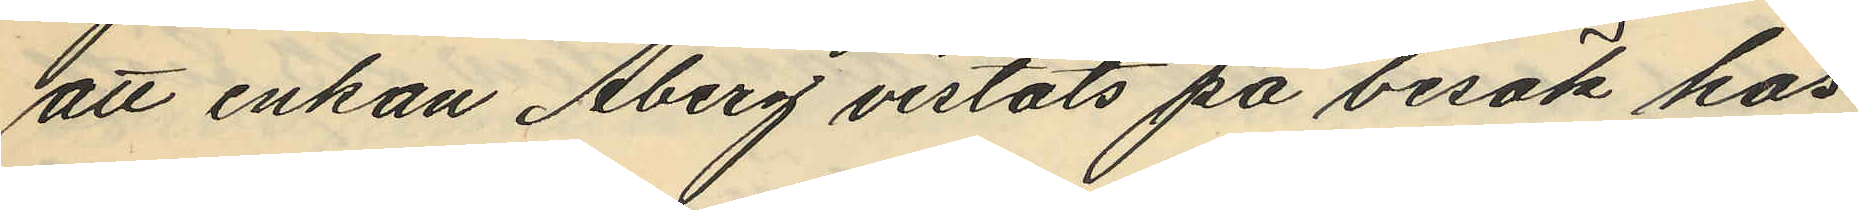att enkan Åberg vistats på besök hos
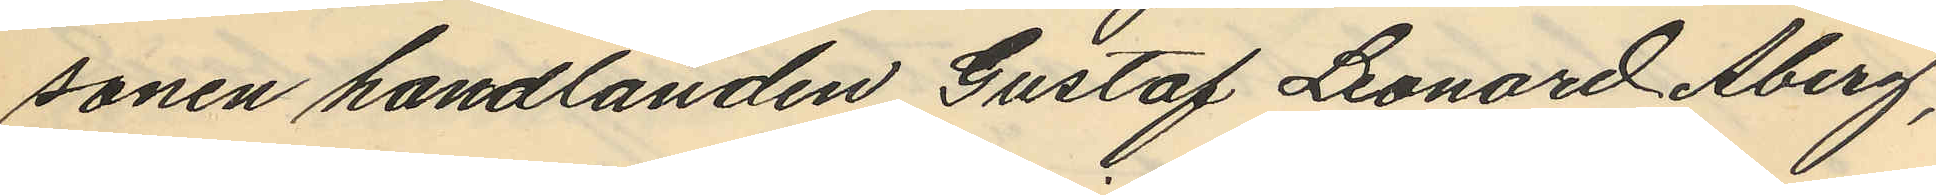sonen handlanden Gustaf Leonard Åberg,
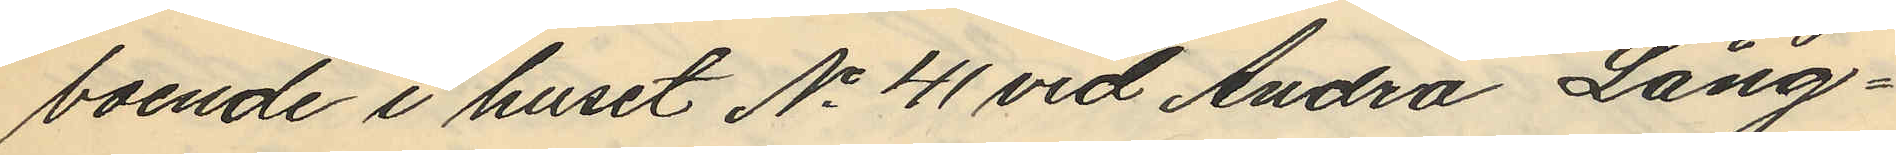boende i huset No 41 vid Andra Lång¬
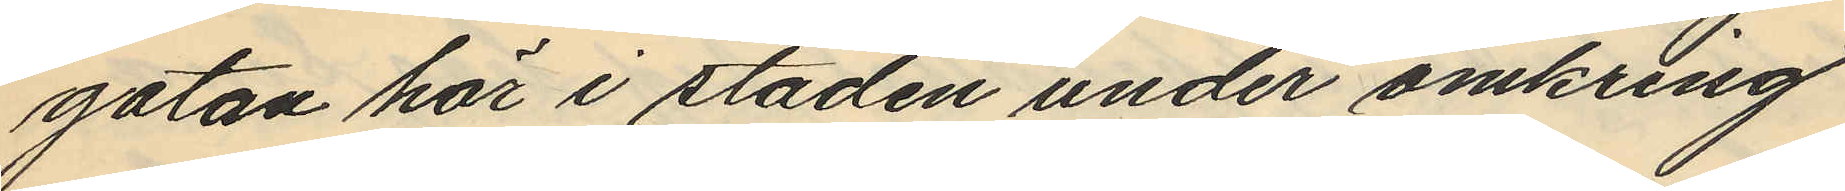gatan här i staden under omkring
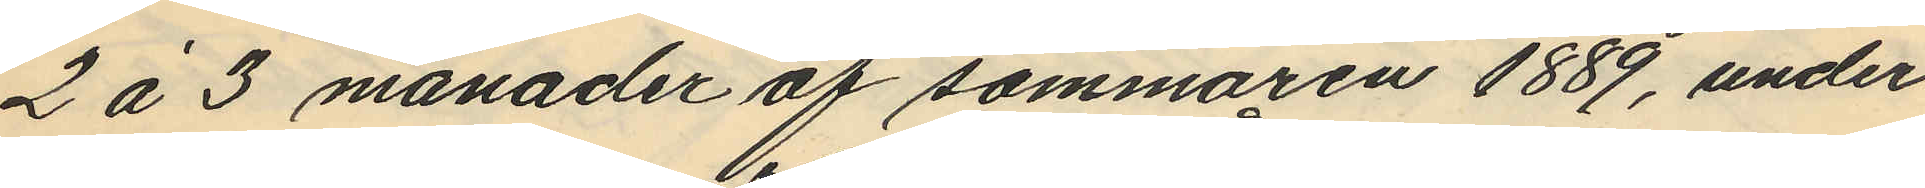2 á 3 månader af sommaren 1889, under
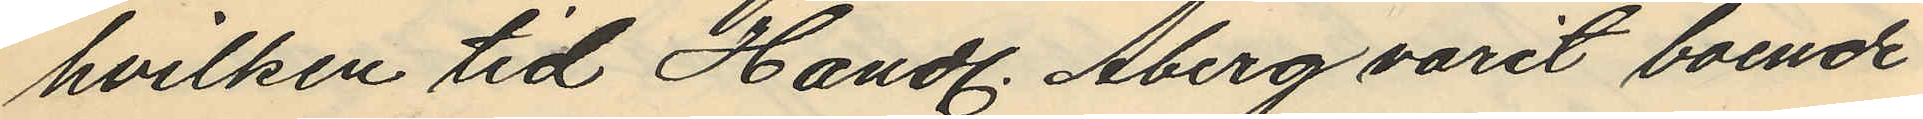hvilken tid Handl. Åberg varit boende
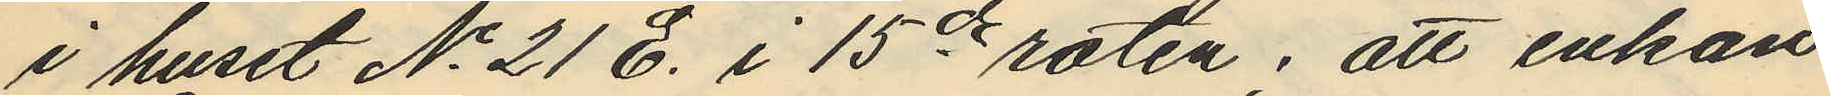i huset No 21 E i 15de roten; att enkan
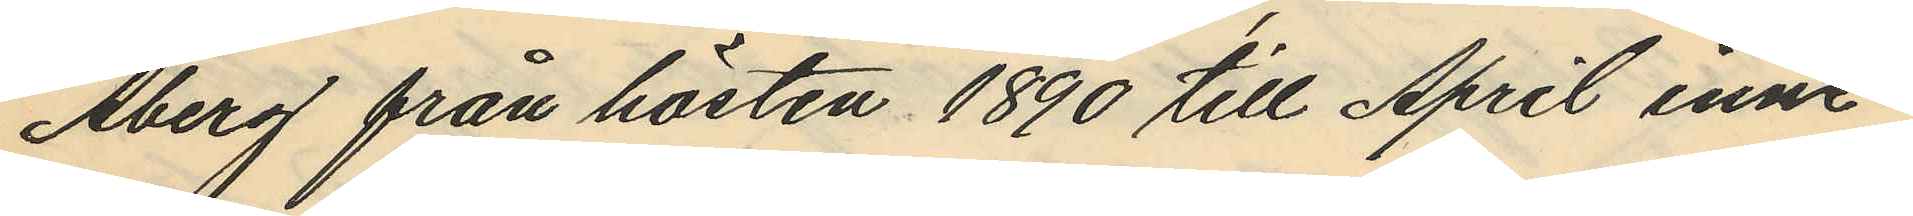Åberg från hösten 1890 till April inne¬
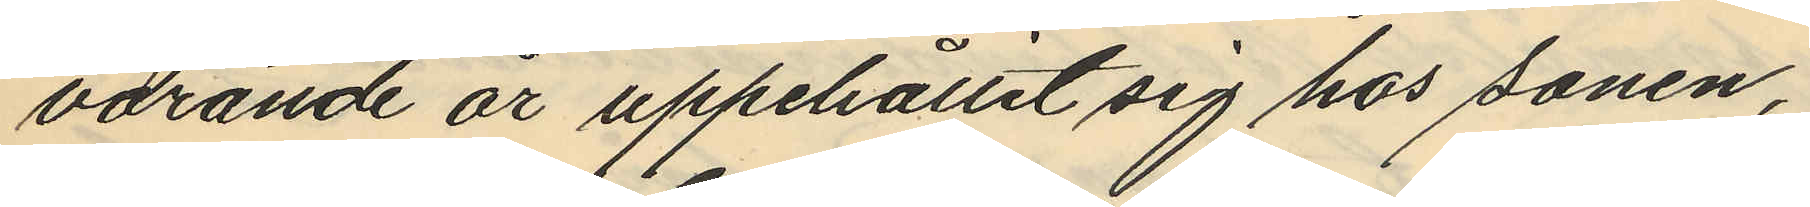varande år uppehållit sig hos sonen,
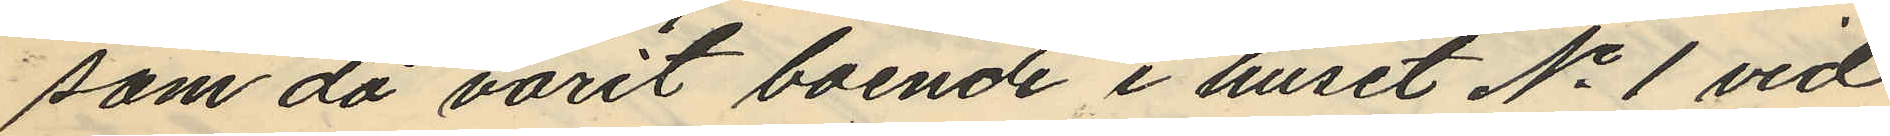som då varit boende i huset No 1 vid
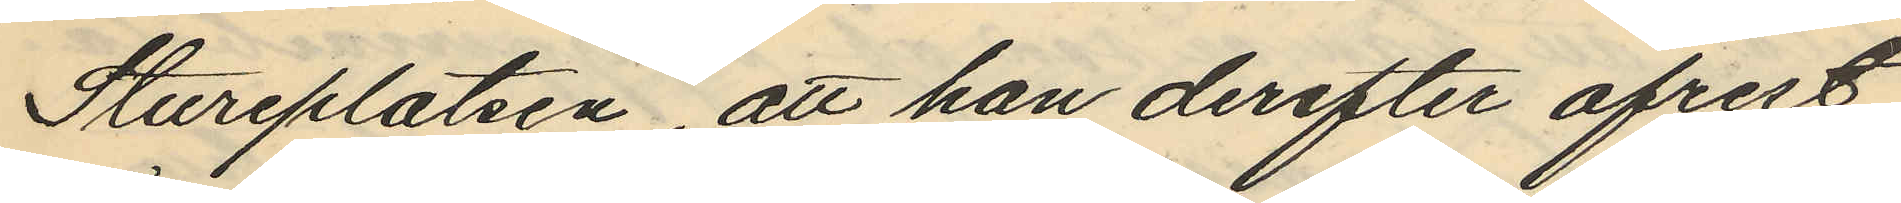Stureplatsen att hon derefter afrest
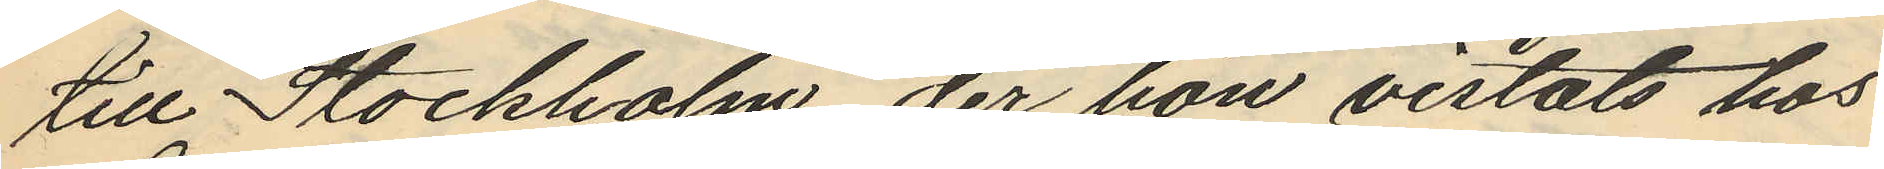till Stockholm, der hon vistats hos
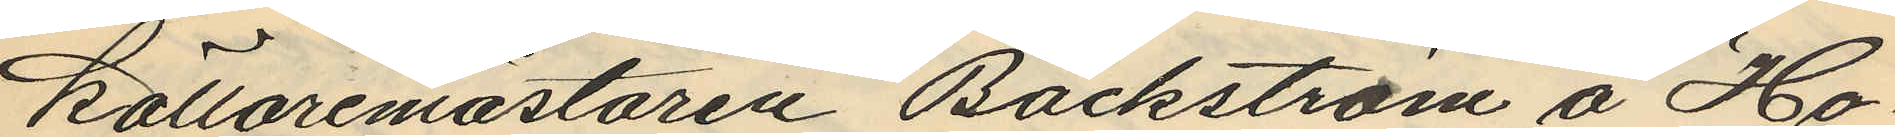källaremästaren Bäckström å "Ho¬
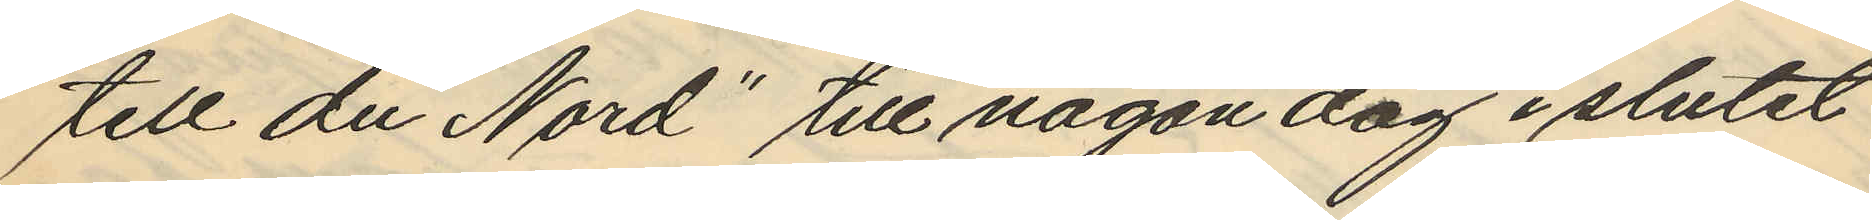tell du Nord" till någon dag i slutet
